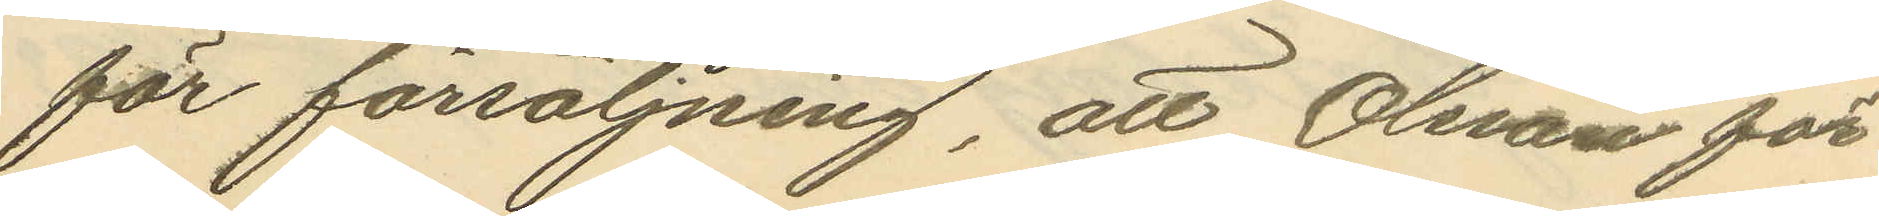för försäljning, att Olsson för
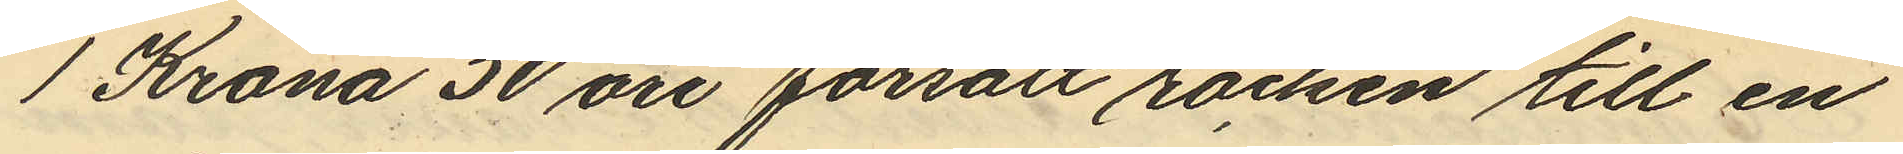1 Krona 50 öre försålt rocken till en
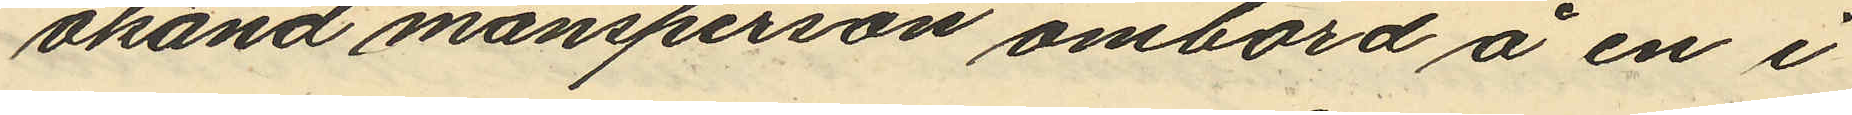okänd mansperson ombord å en i
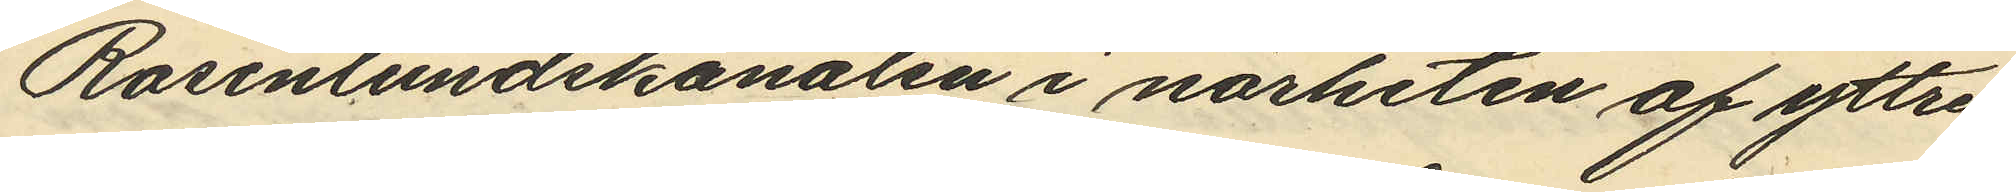Rosenlundskanalen i närheten af yttre
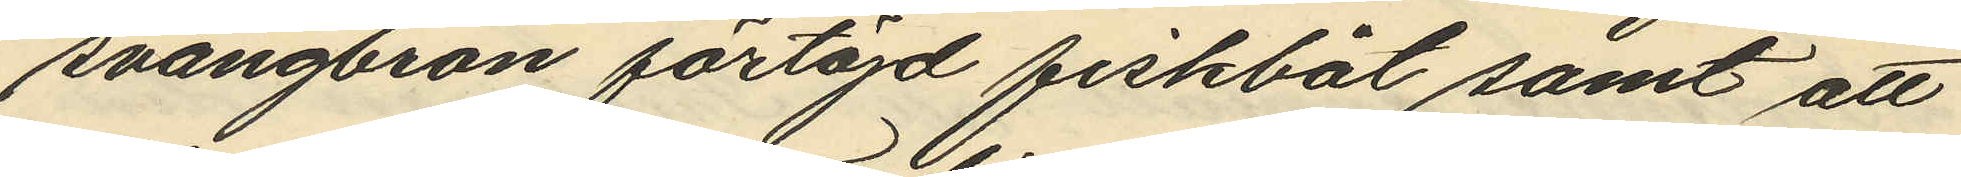svängbron förtöjd fiskbåt samt att
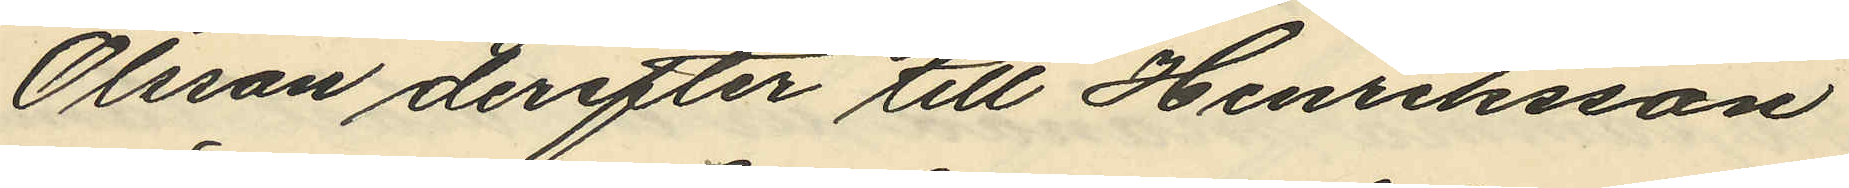Olsson derefter till Henriksson
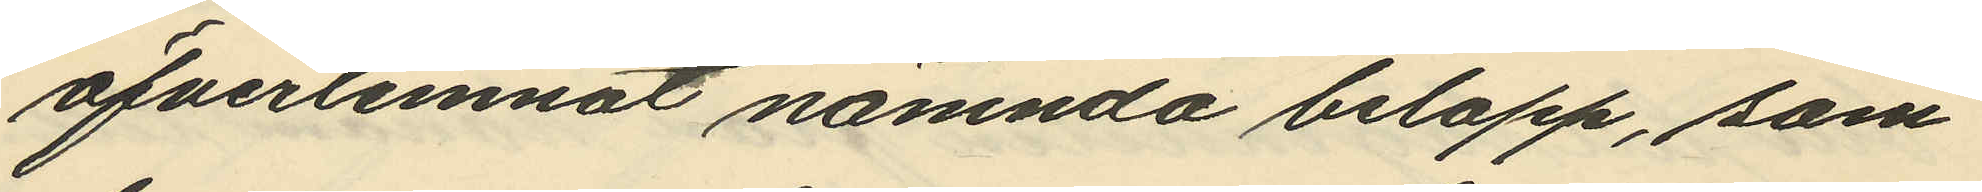öfverlemnat nämnda belopp, som
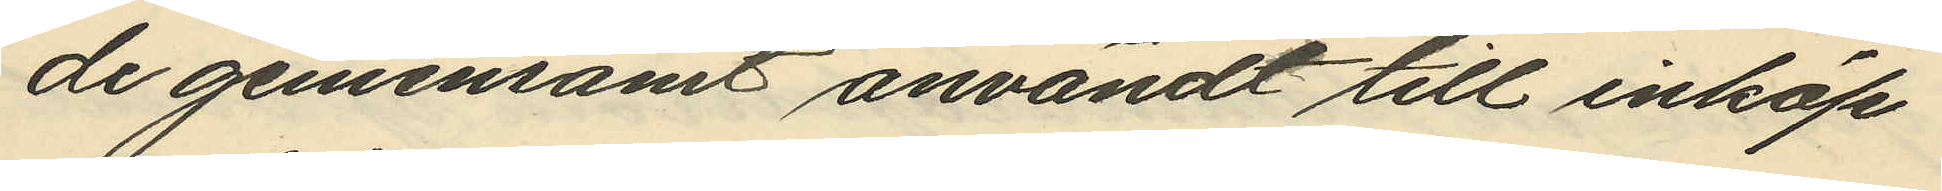de gemensamt användt till inköp
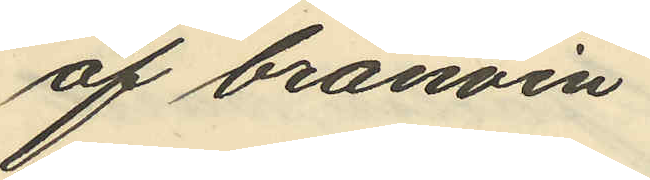af bränvin.
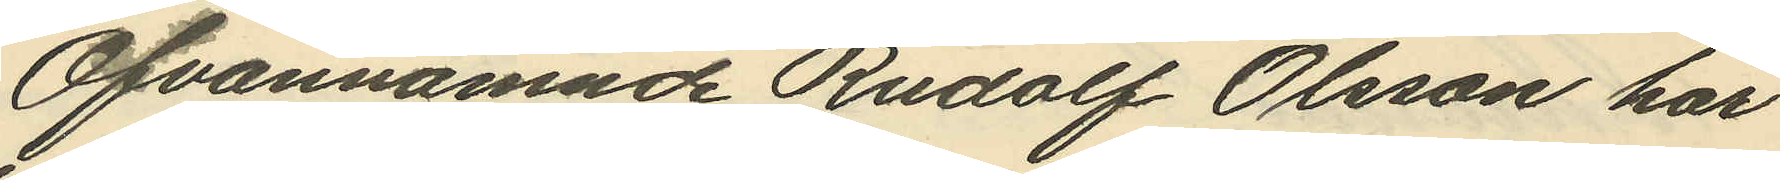Ofvannämnde Rudolf Olsson har
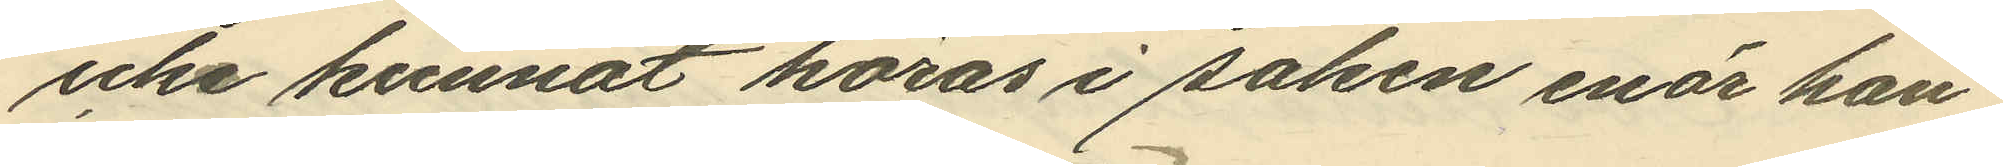icke kunnat höras i saken enär han
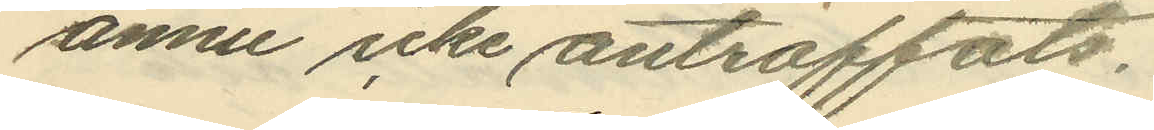ännu icke anträffats.
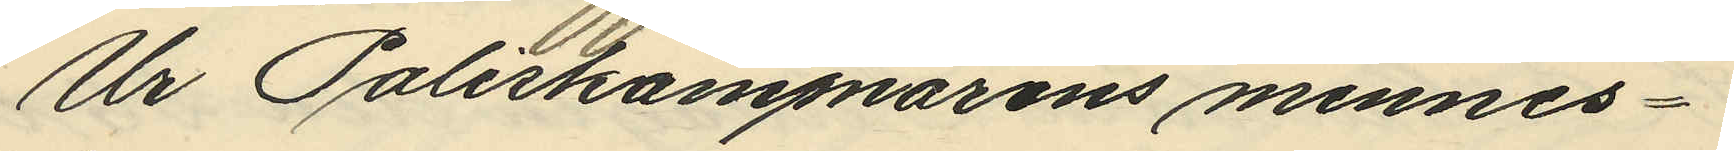Ur Poliskammarens minnes¬
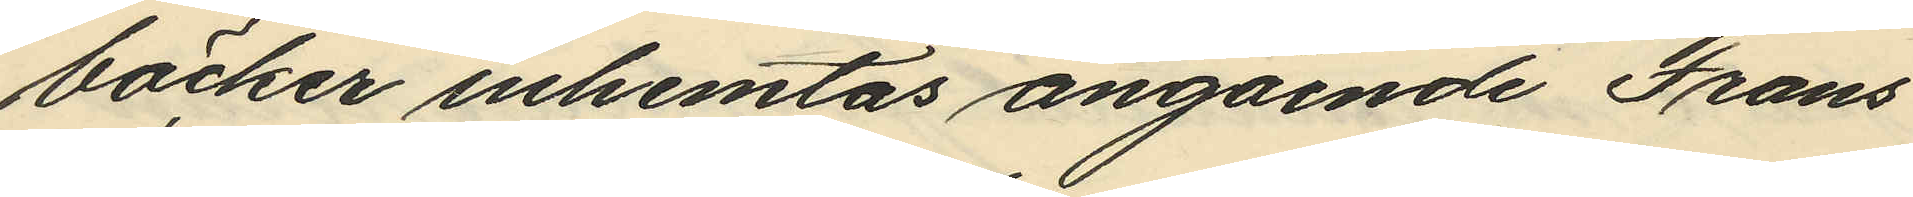böcker inhemtas angående Frans
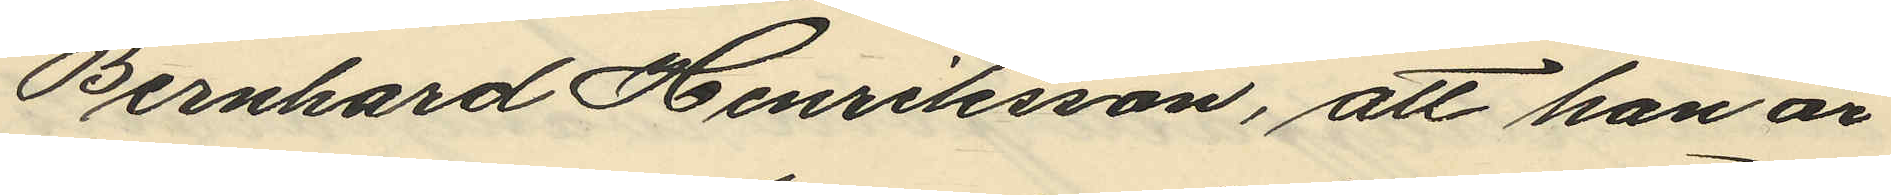Bernhard Henriksson, att han är
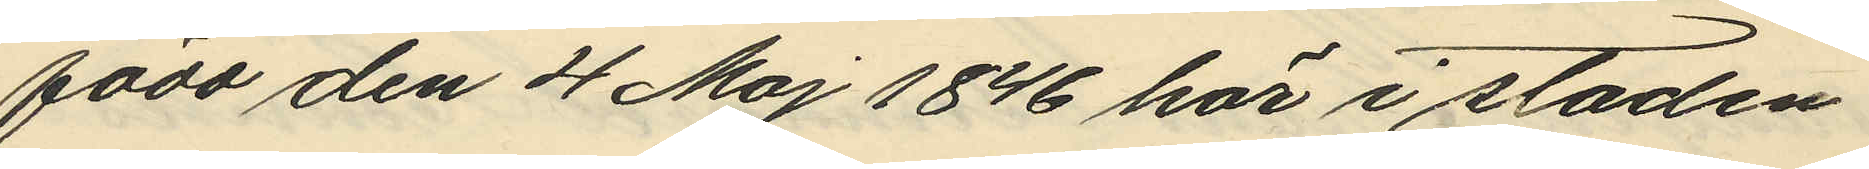född den 4 Maj 1846 här i staden
